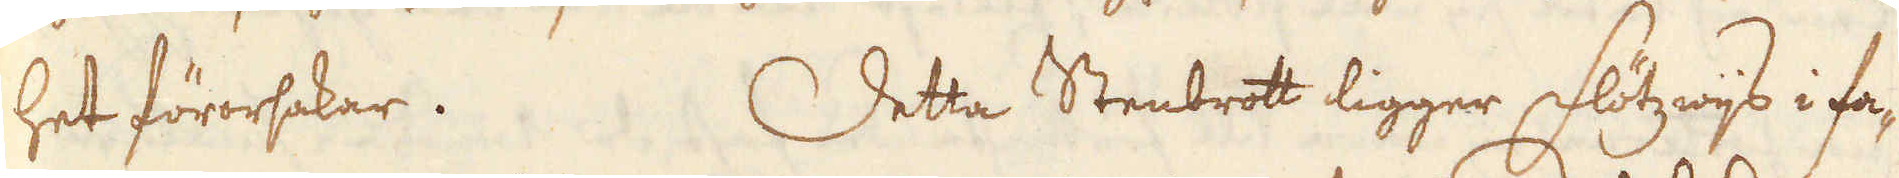het förorsakar. Detta Stenbrott ligger Flötzwijs i fa-
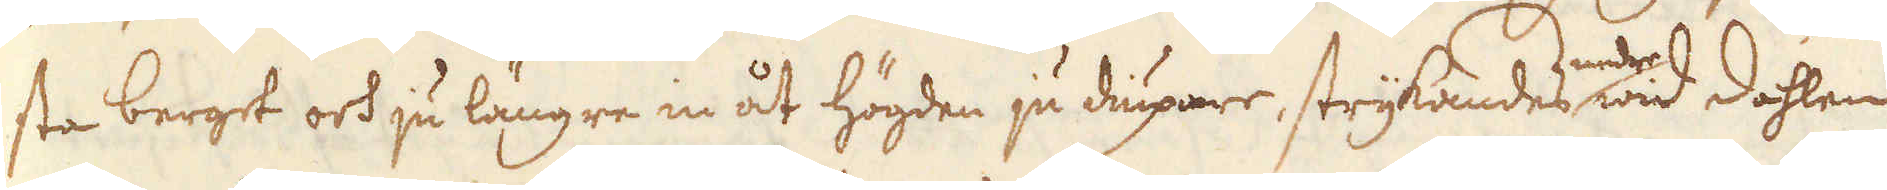sta berget och ju längre in åt högden ju diupare, strykandes neder wid dahlen
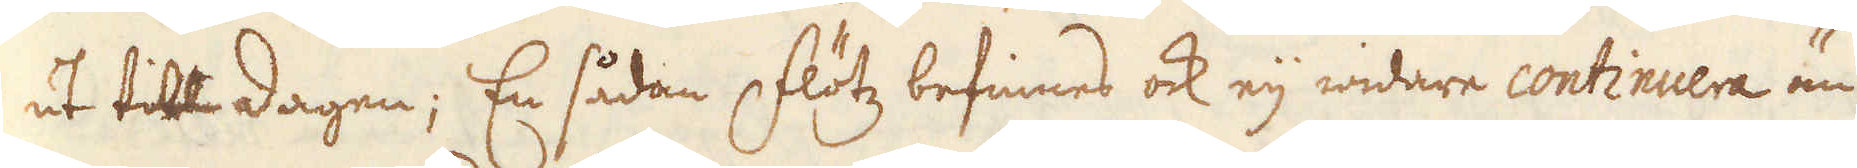ut till dagen; En sådan Flötz befinnes ock eij widare continuera än
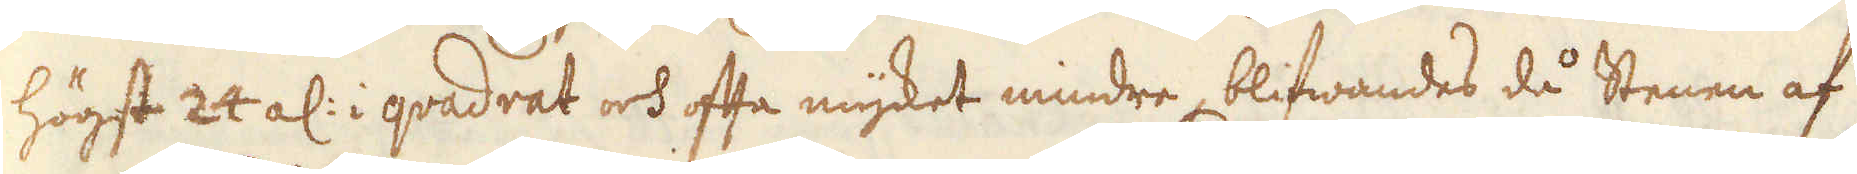högst 24 al: i qvadrat och ofta mycket mindre, blifwandes då Stenen af
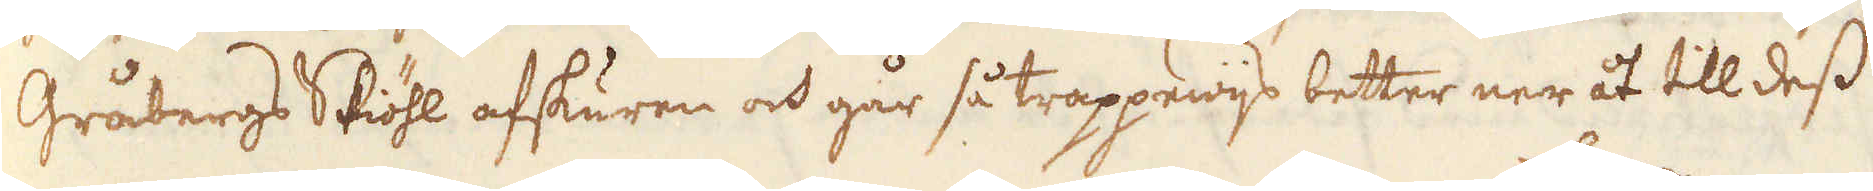Gråbergs Skiöhl afskuren och går så trappewijs better ner åt till dess
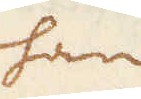han
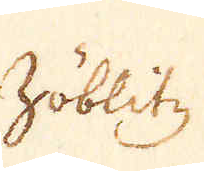Zöblitz
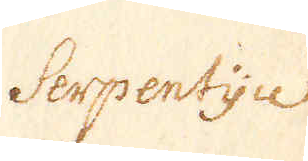Serpentijn
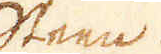Steen.
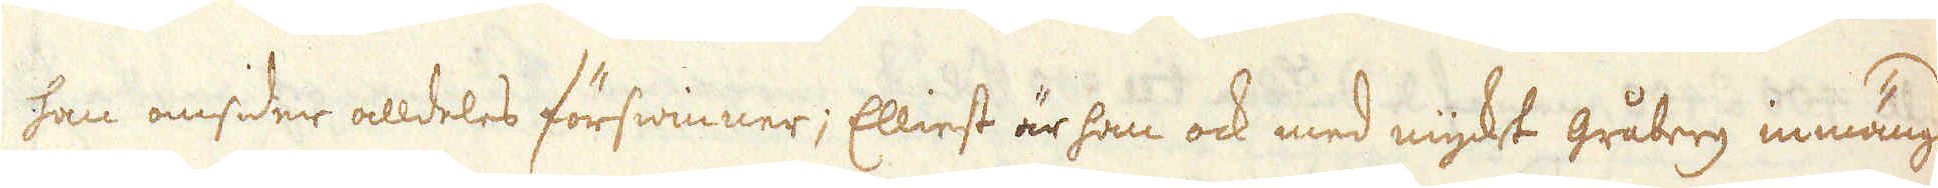han omsider alldeles förswinner; Elliest är han ock med myket gråberg inmängd
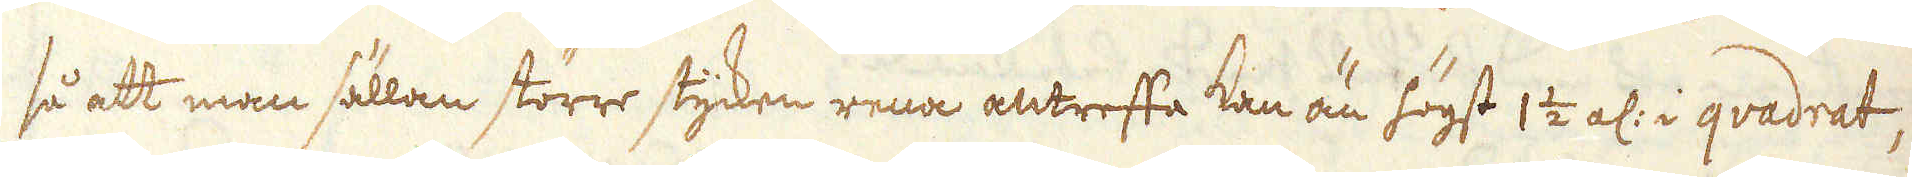så att man sällan större stycken rena antreffa kan än högst 1 1/2 al: i qvadrat,
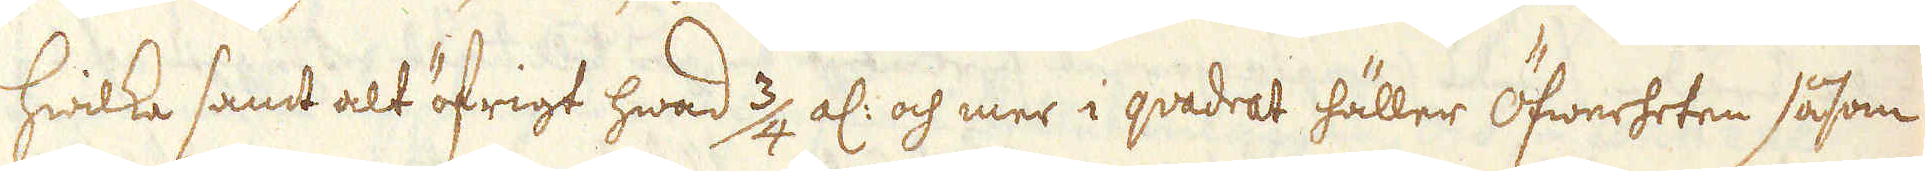hwilka samt alt öfrigt hwad 3/4 al: och mer i qvadret häller Öfwerheten såsom
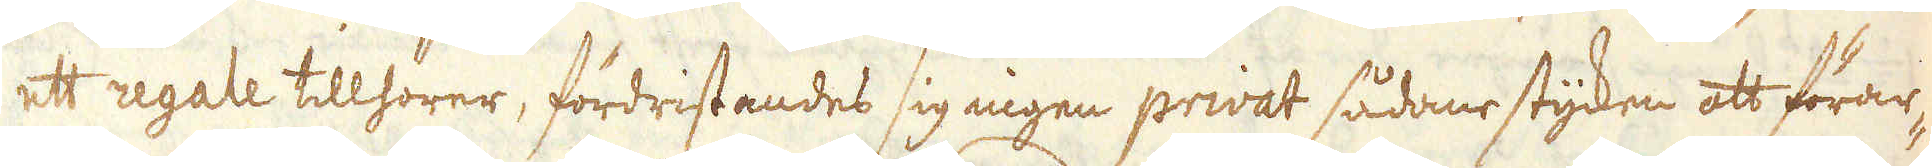ett regale tillhörer, fördristandes sig ingen privat sådane stycken att förar-
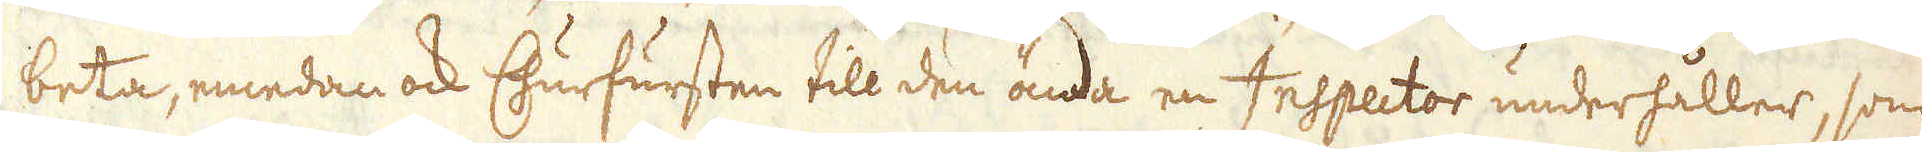beta, emedan ock Churfursten till den ända en Inspector underhåller, som
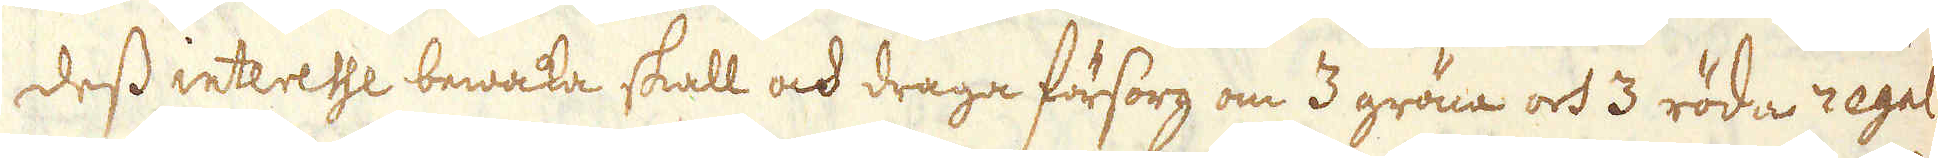dess interesse bewaka skall och draga försorg om 3 gröna och 3 röda regal
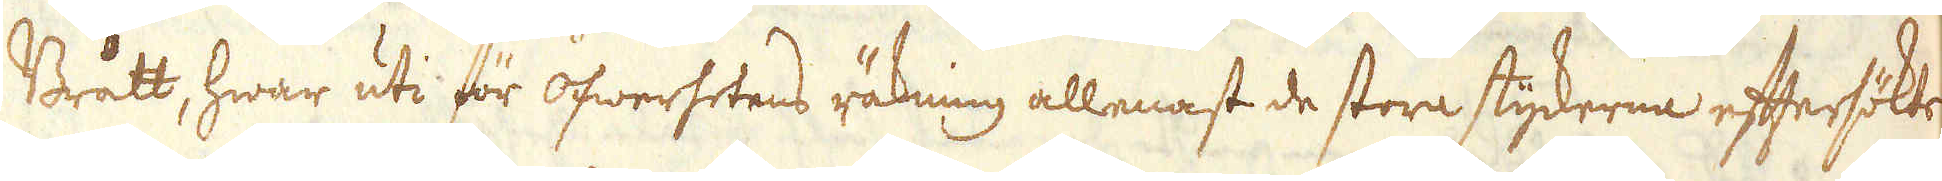Brått, hwar uti för öfwerhetens räkning allenast de stora styckerna eftersökts
